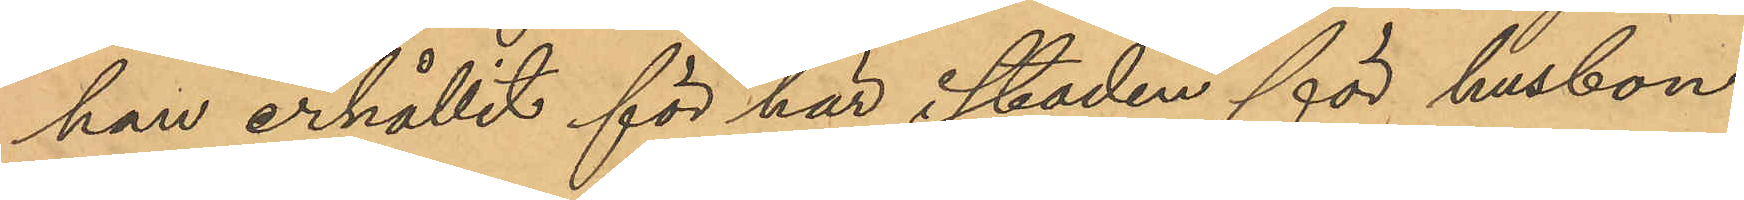han erhållit för här i staden för husbon¬
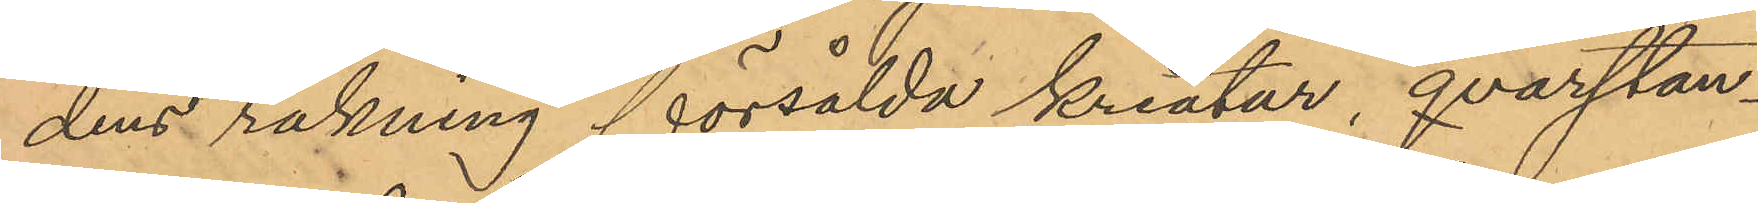dens räkning försålda kreatur, qvarstan¬
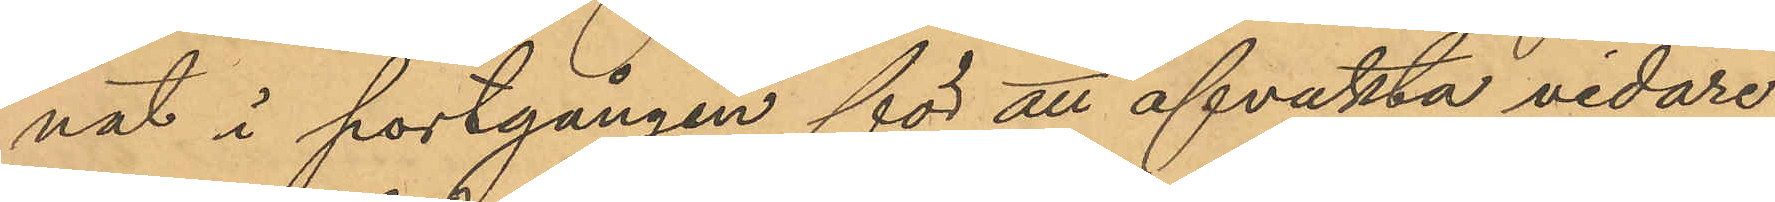nat i portgången för att afvakta vidare
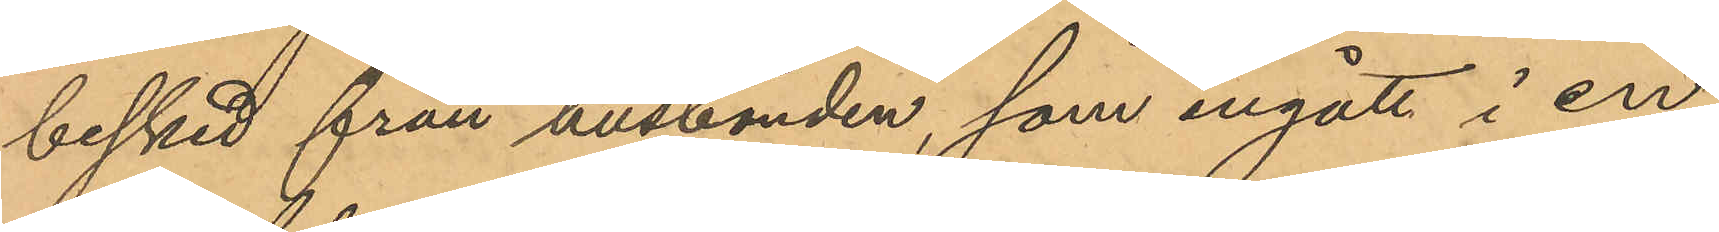besked från husbonden, som ingått i en
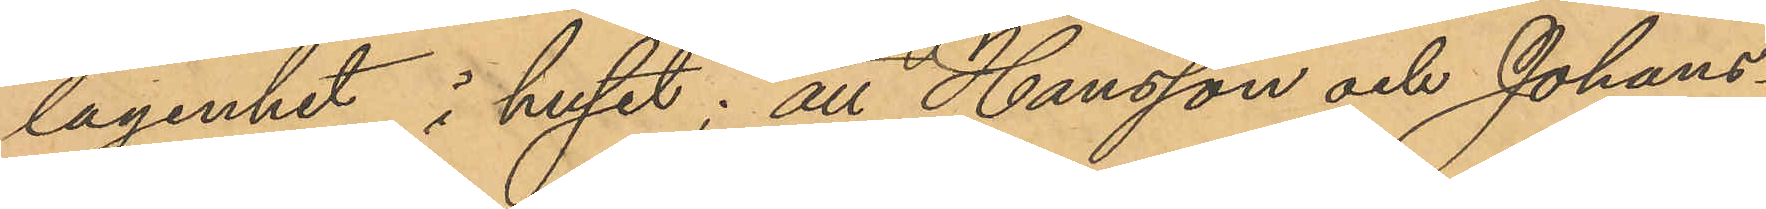lägenhet i huset; att Hansson och Johans¬
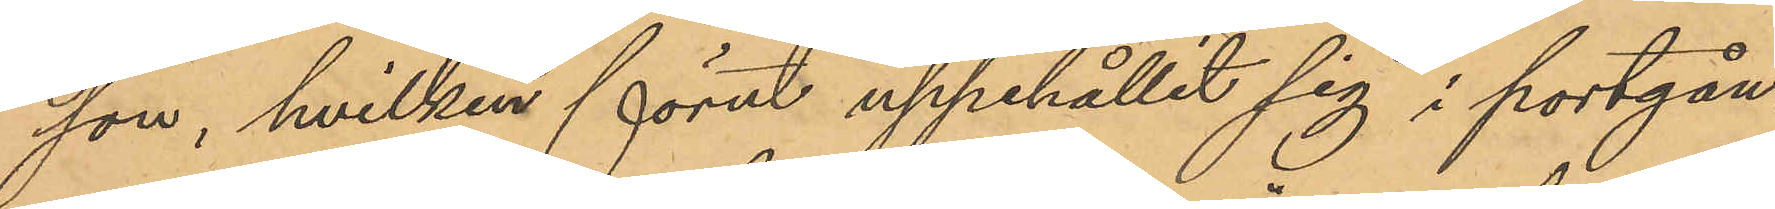son, hvilken förut uppehållit sig i portgån¬
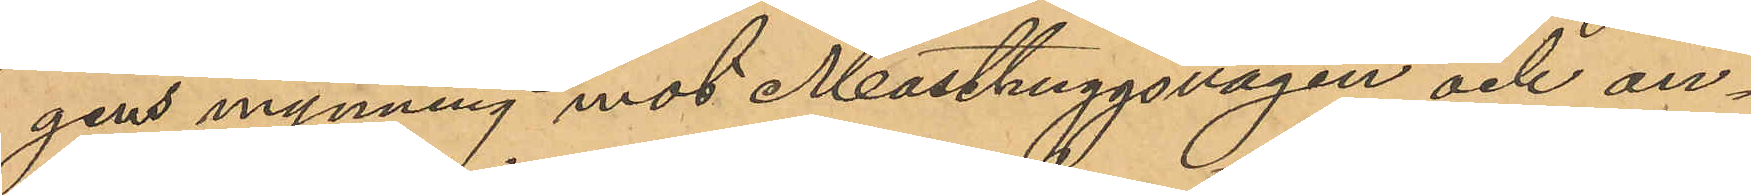gens mynning mot Masthuggsvägen och an¬
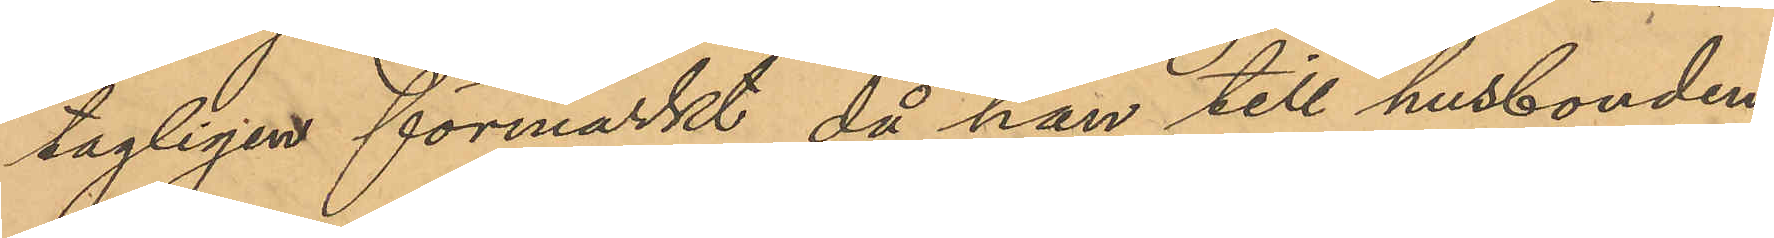tagligen förmärkt, då han till husbonden
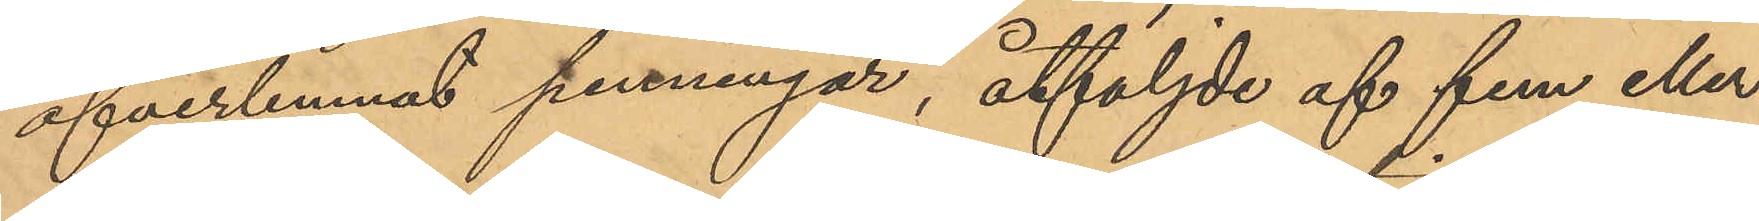öfverlemnat penningar, åtföljde af fem eller
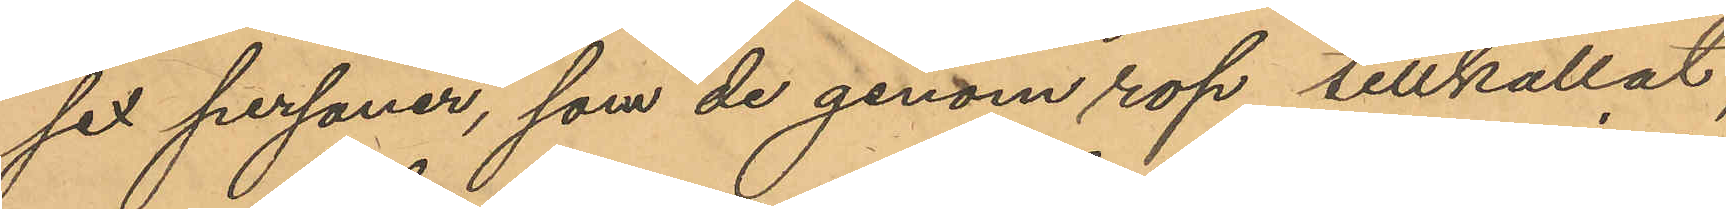sex personer, som de genom rop tillkallat,
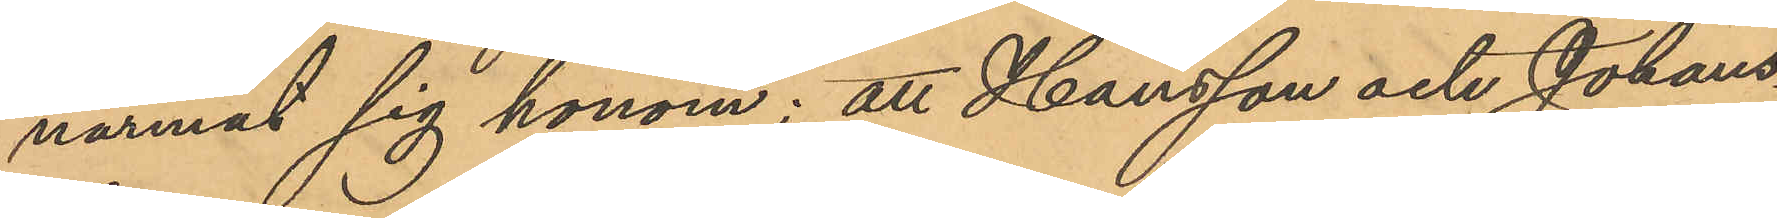narmat sig honom; att Hansson och Johans¬
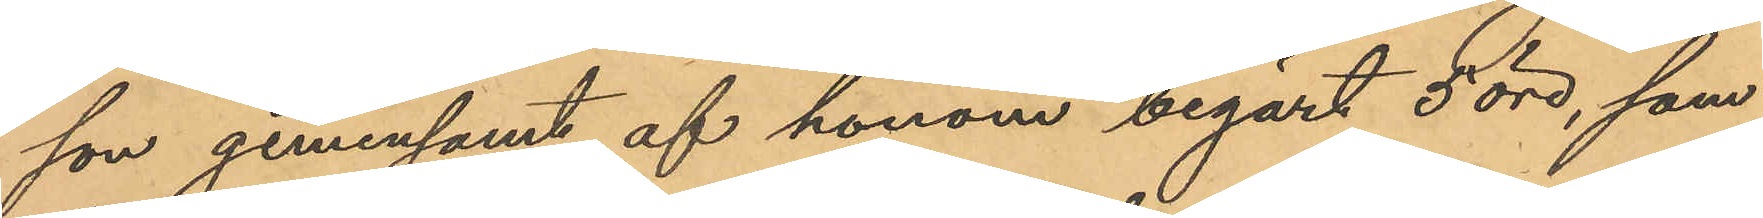son gemensamt af honom begärt 5 öre, som
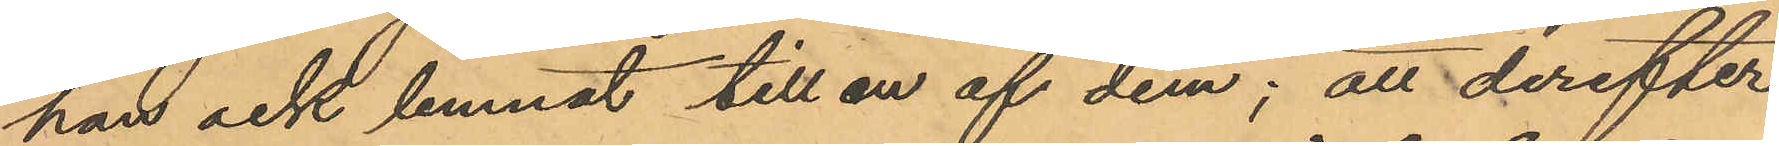han ock lemnat till en af dem; att derefter
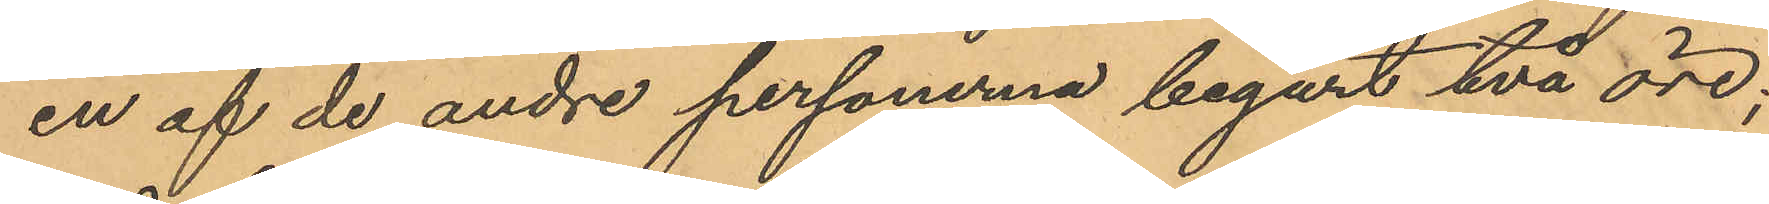en af de andre personerna begärt två öre;
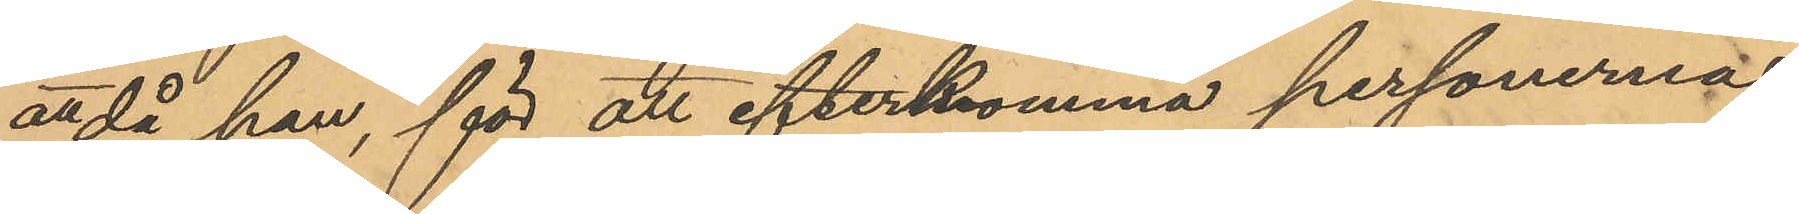att då han, för att efterkomma personernas
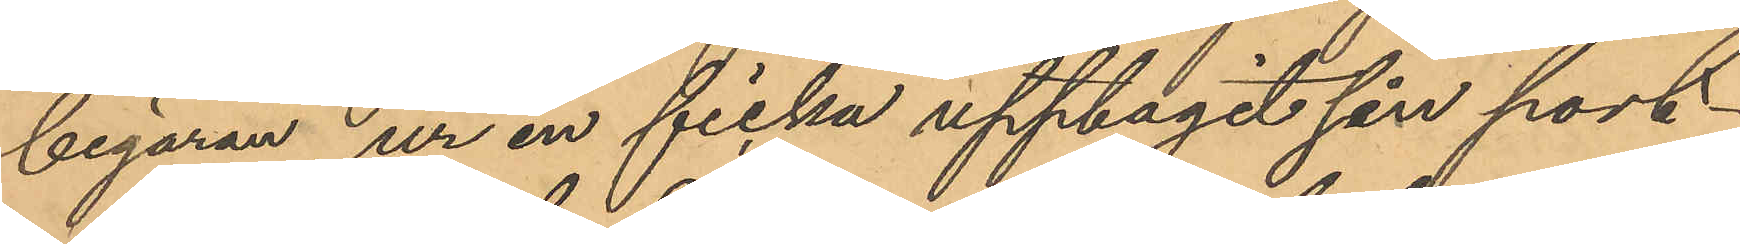begäran ur en ficka upptagit sin port¬
